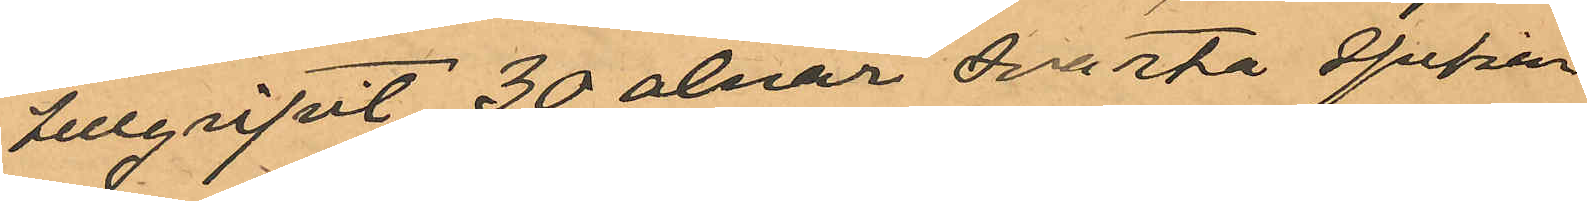tillgripit 30 alnar svarta spetsar
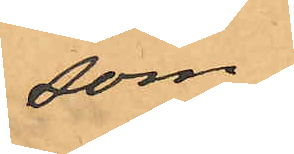som
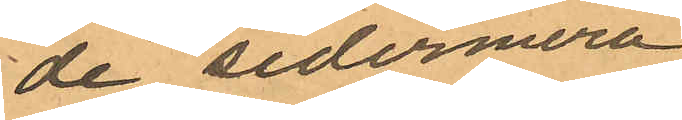de sedermera
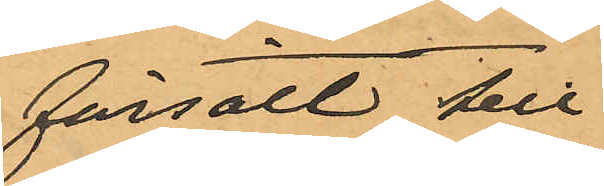försålt till
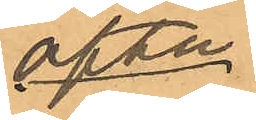ofte¬
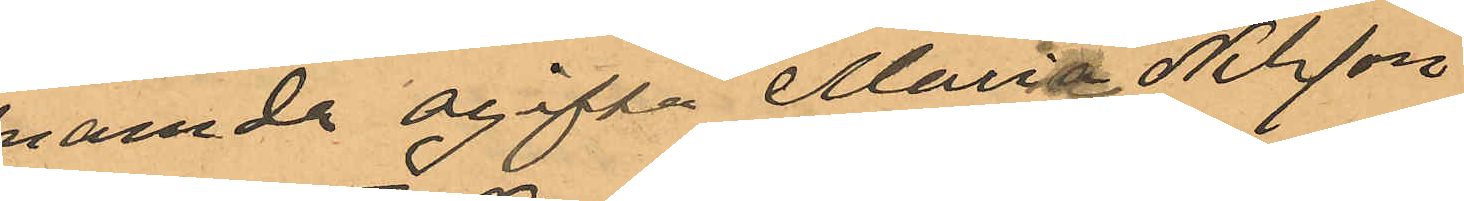nämnda ogifta Maria Nilsson
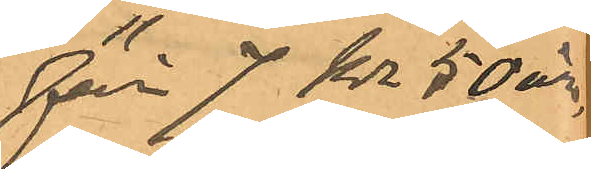förr 7 kr 50 öre,
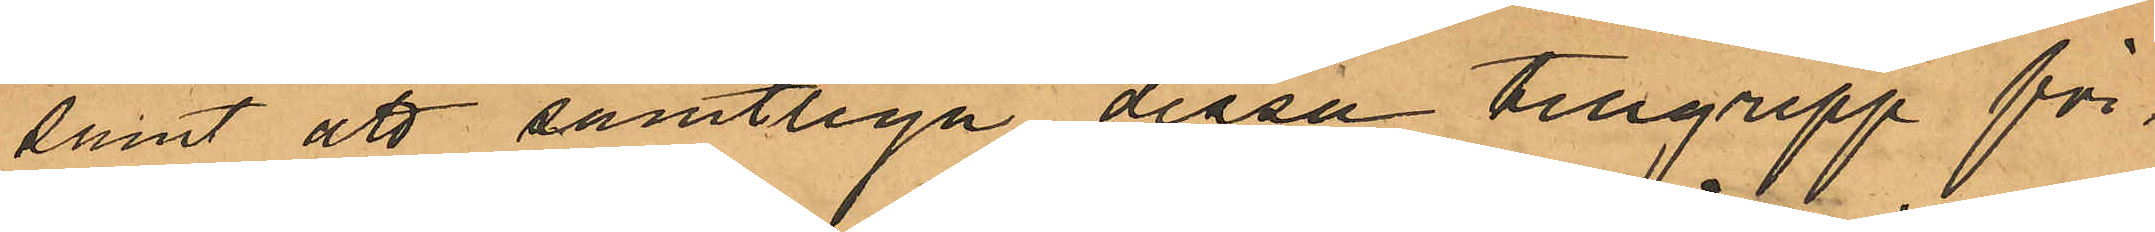samt att samtliga dessa tillgrepp för¬
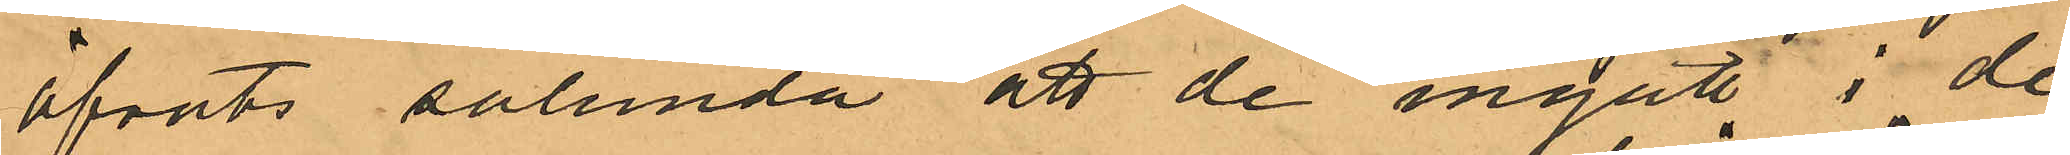öfvats sålunda att de ingått i de
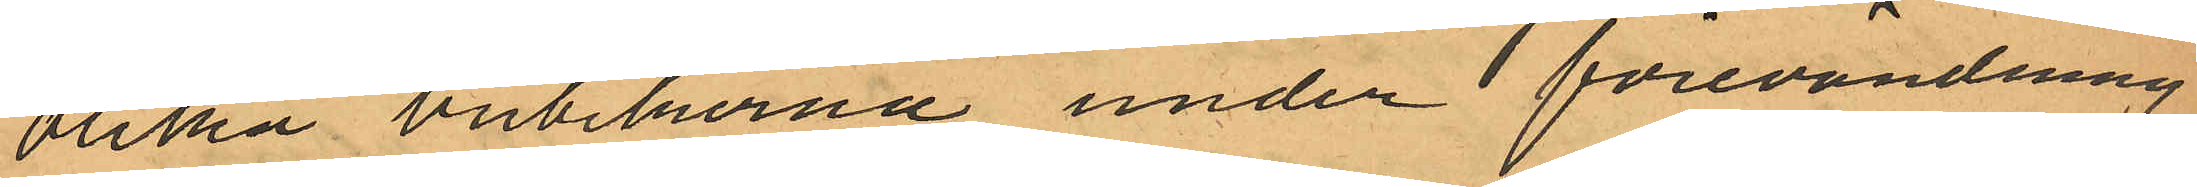olika butikerna under förevändning
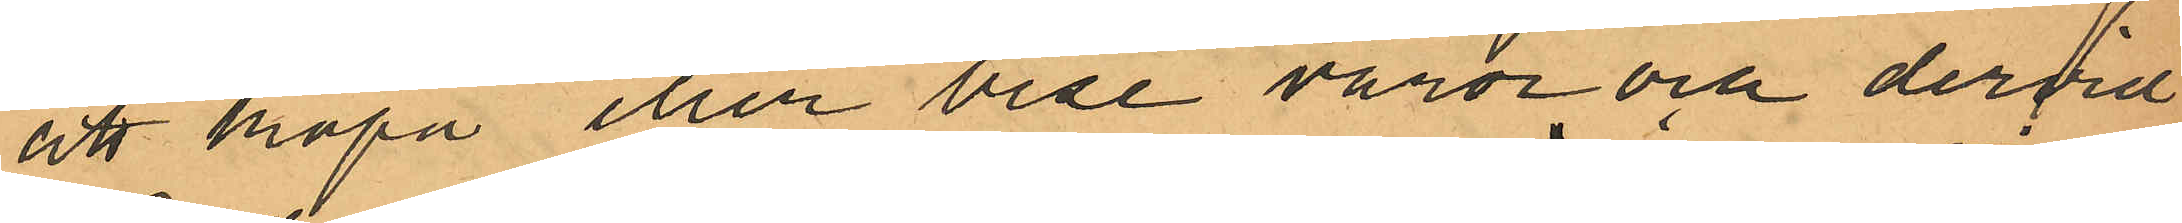att köpa eller bese varor och dervid
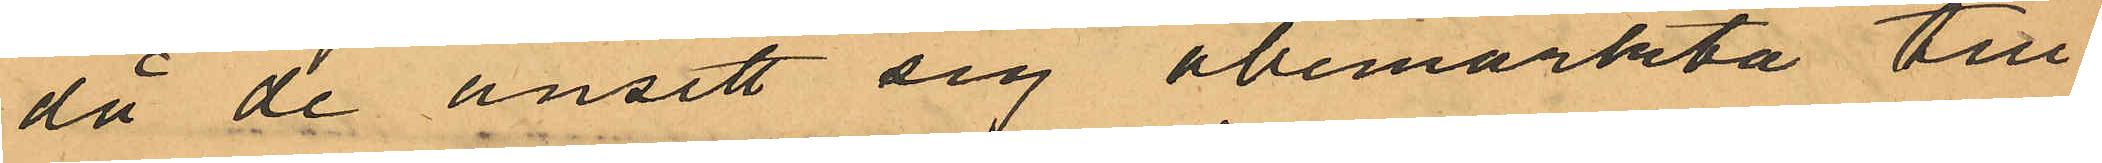då de ansett sig obemärkta till¬
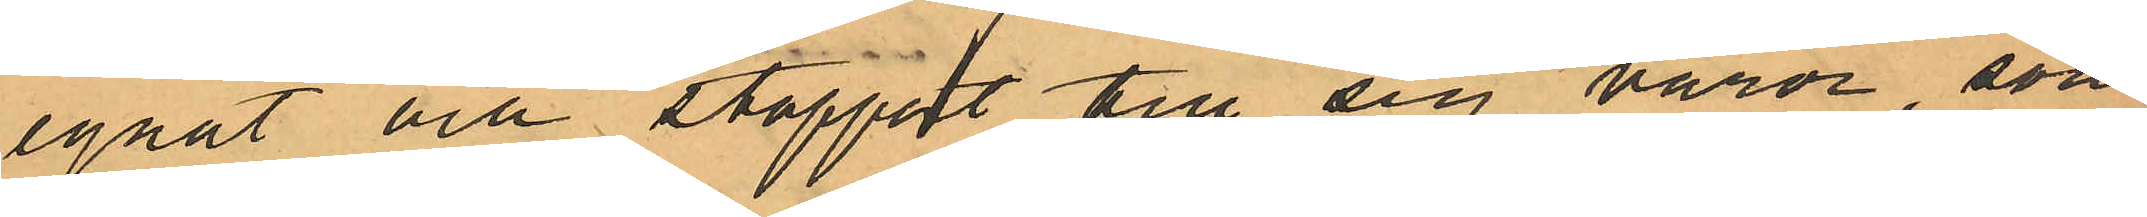egnat och stoppat till sig varor, som
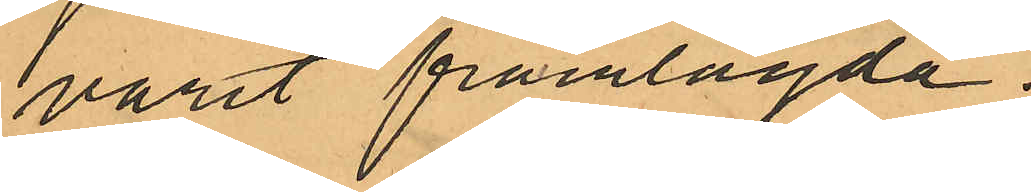varit framlagda.
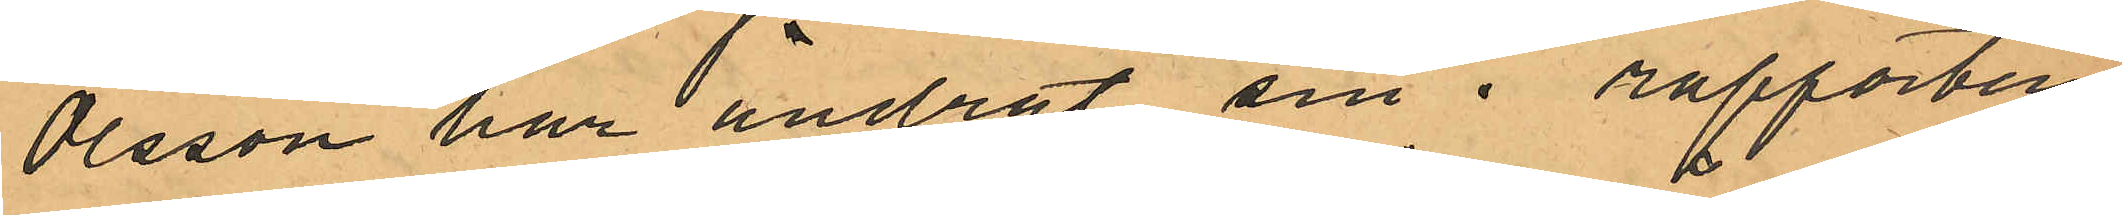Olsson har ändrat sin i rapporten
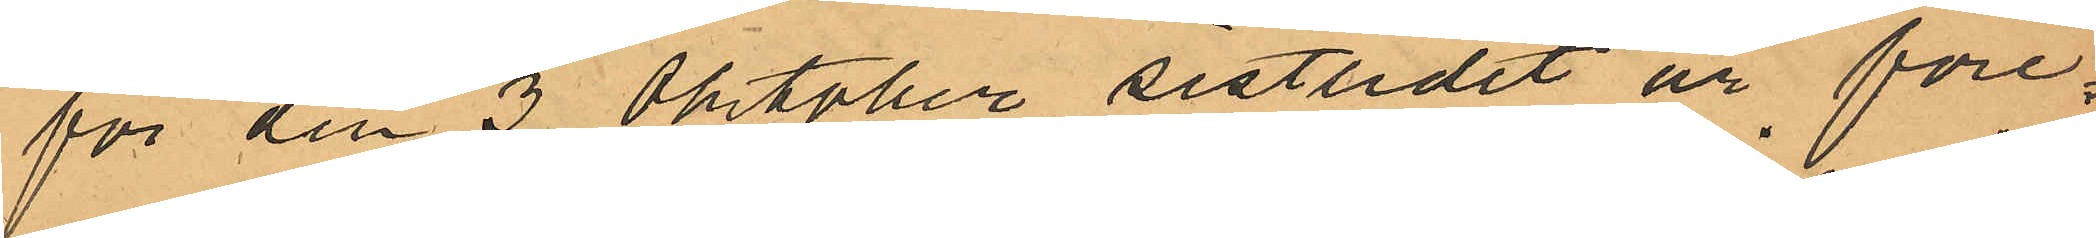för den 3 Oktober sistlidet år före¬
